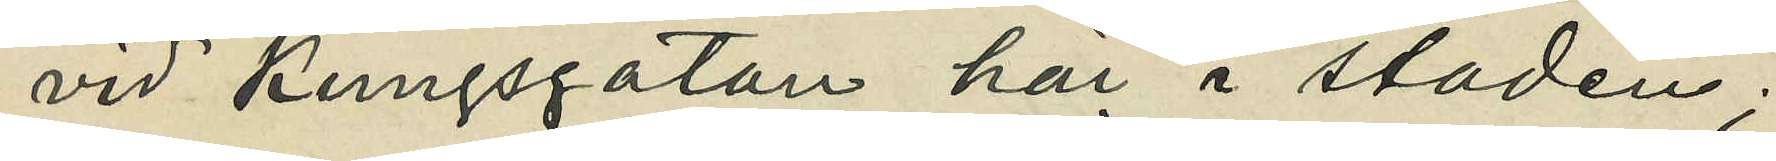vid Kungsgatan här i staden;
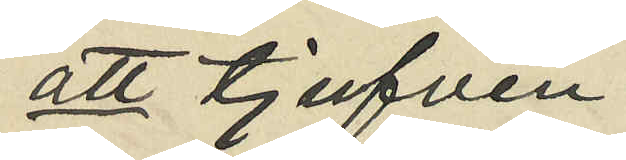att tjufven
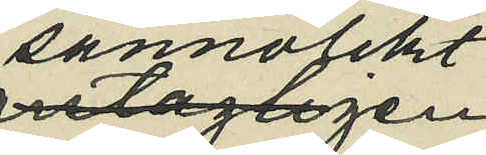sannolikt
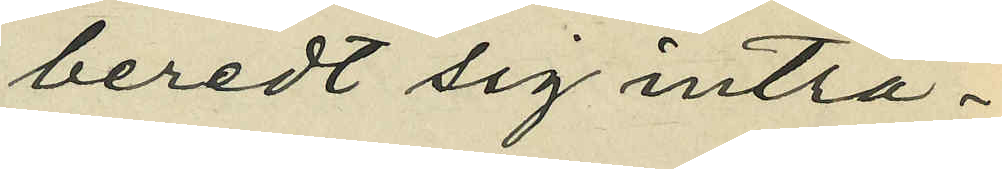beredt sig inträ¬
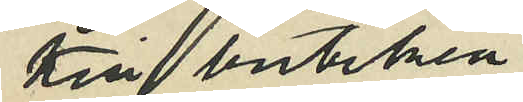till butiken
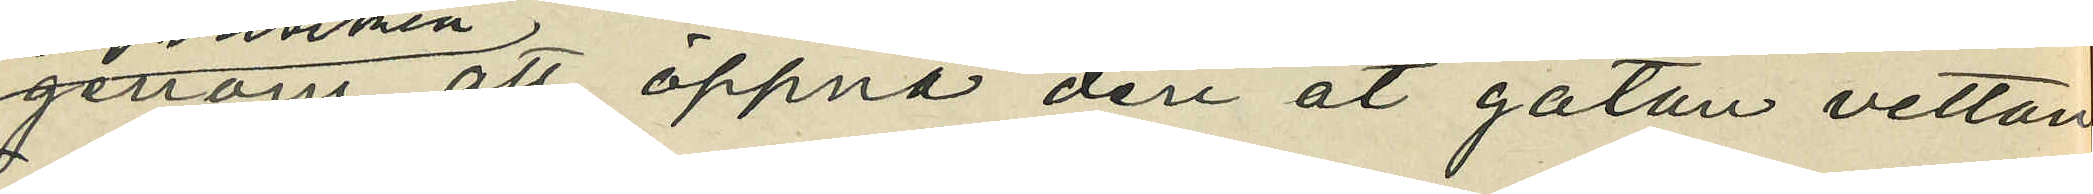genom att öppna den åt gatan vettan¬
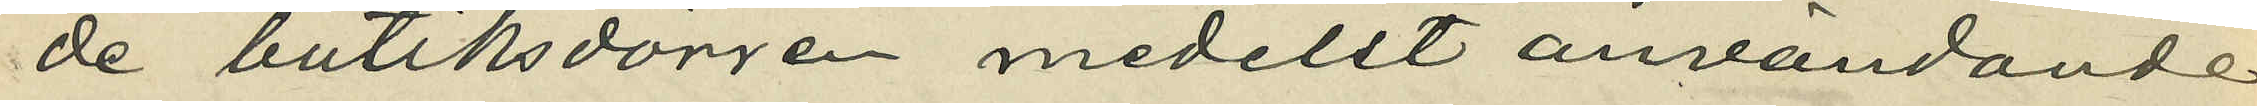de butiksdörren medelst användande
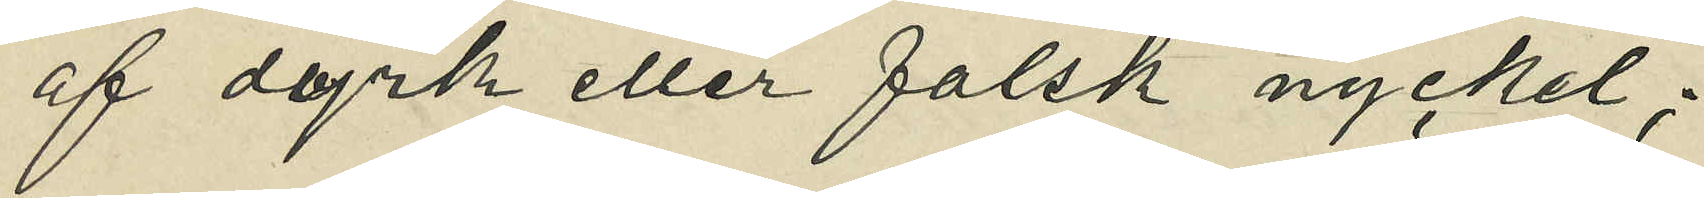af dyrk eller falsk nyckel;
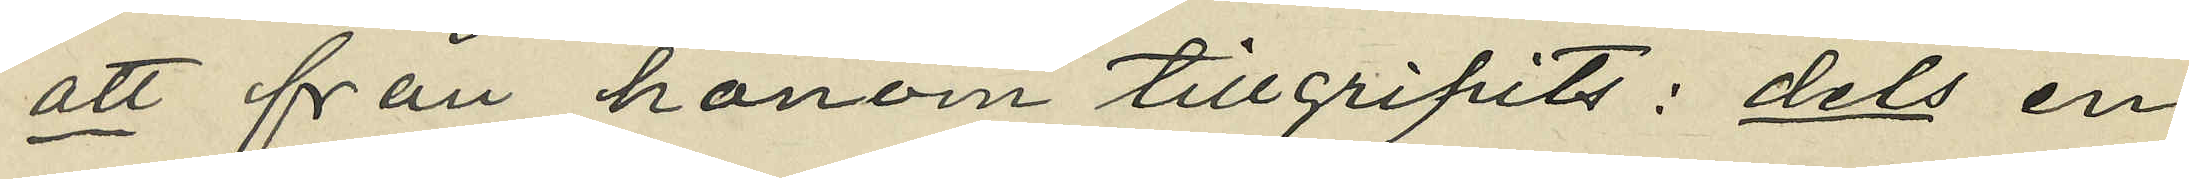att från honom tillgripits: dels en
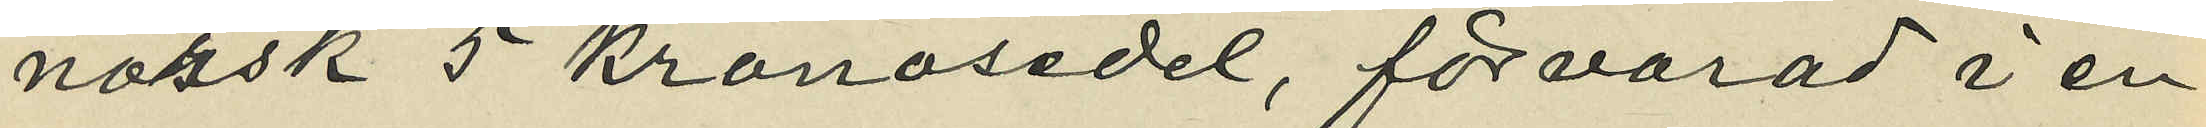norsk 5 kronosedel, förvarad i en
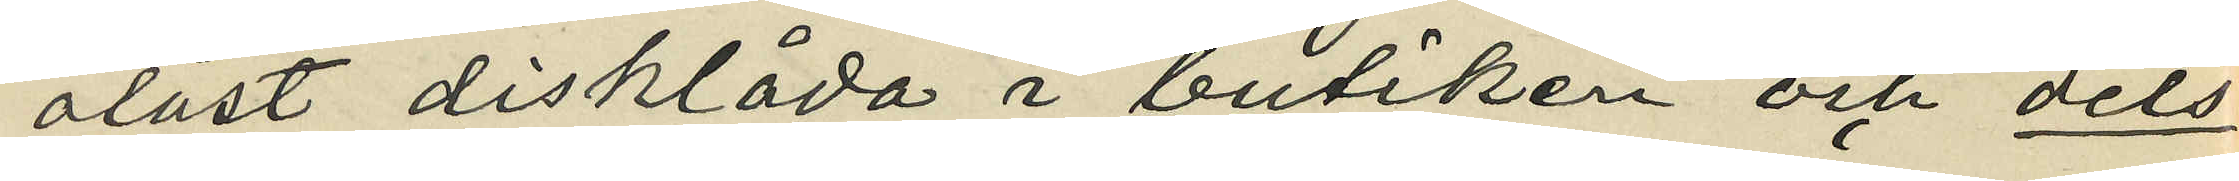olåst disklåda i butiken och dels
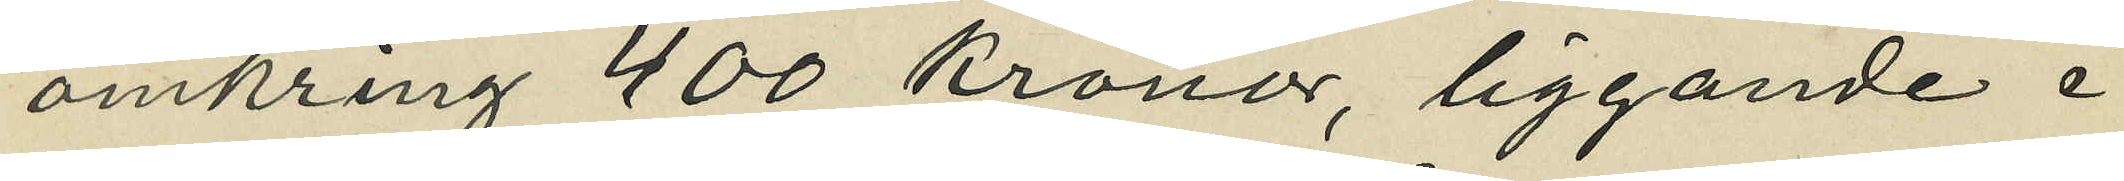omkring 400 kronor, liggande i
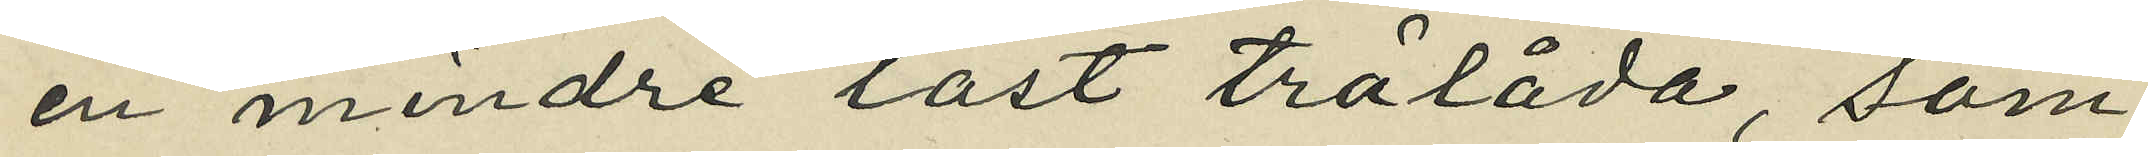en mindre låst trälåda, som
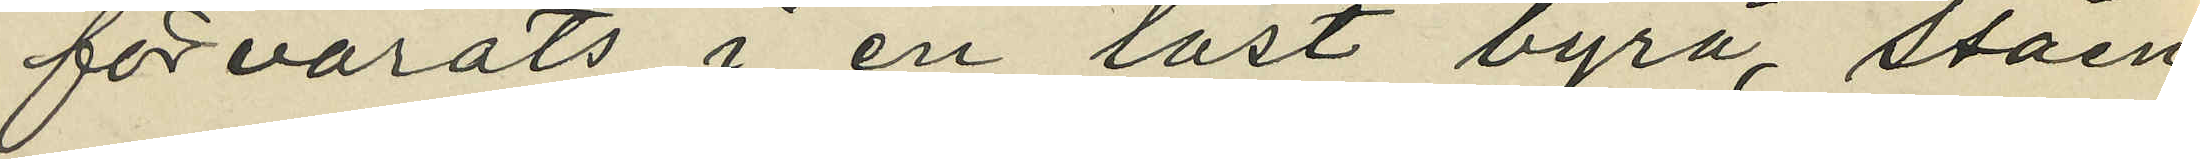förvarats i en låst byrå, ståen¬
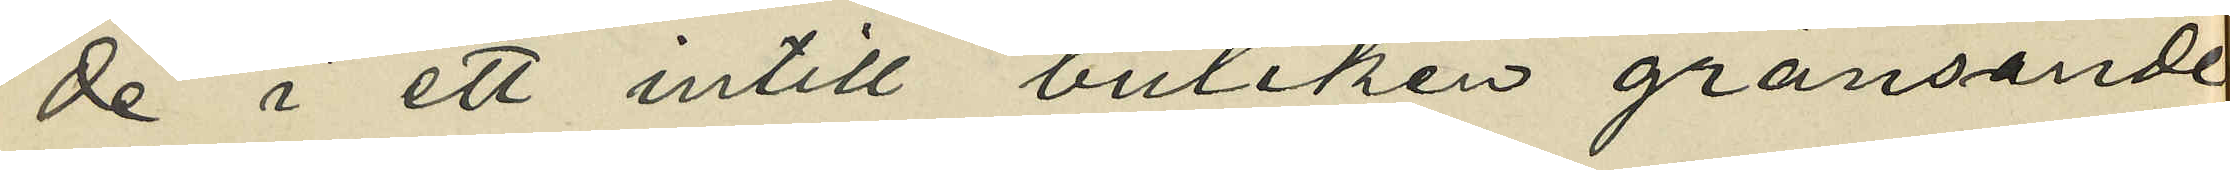de i ett intill butiken gränsande
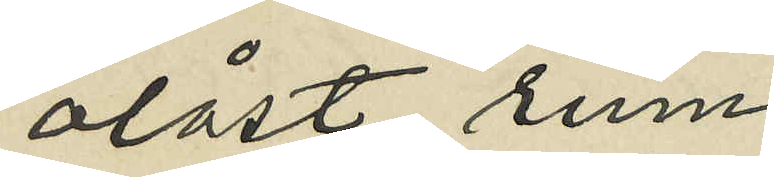olåst rum;
